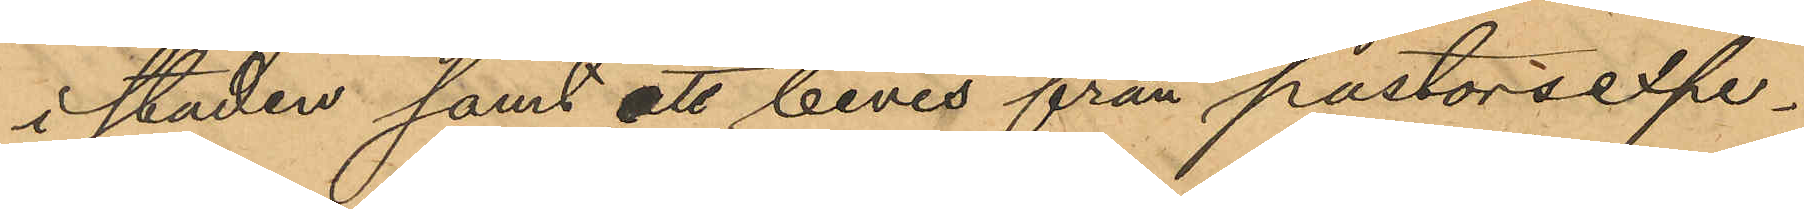i staden samt att bevis från pastorsexpe¬
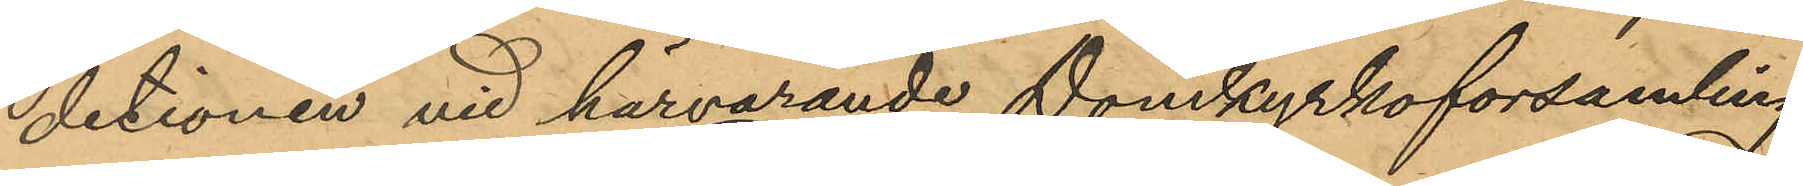detionen vid härvarande Domkyrkoförsamling,
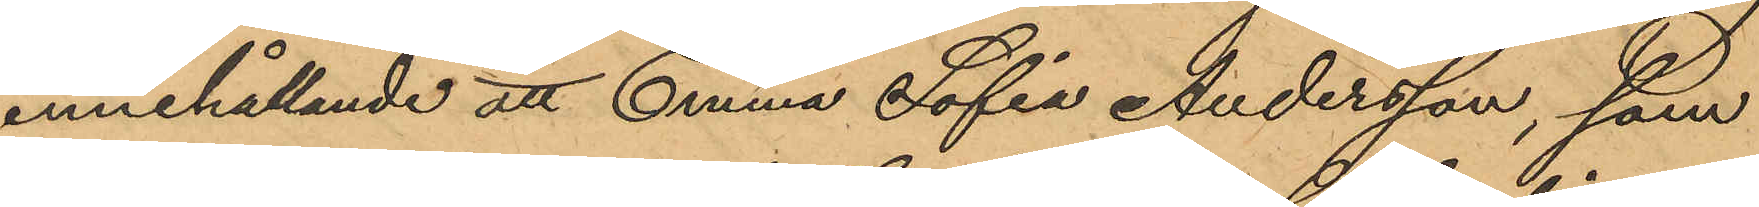innehållande att Emma Sofia Andersson, som
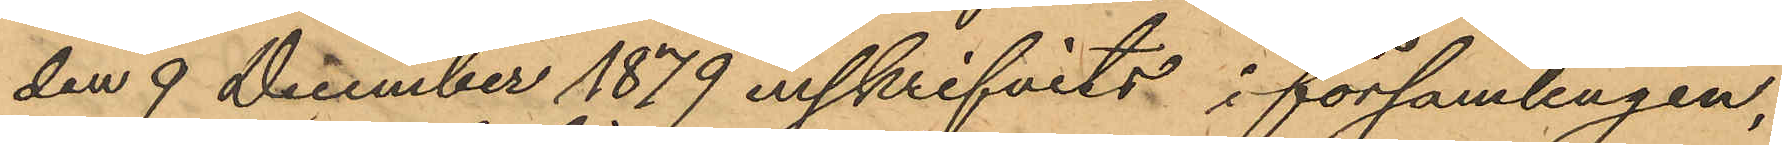den 9 December 1879 inskrifvits i församlingen,
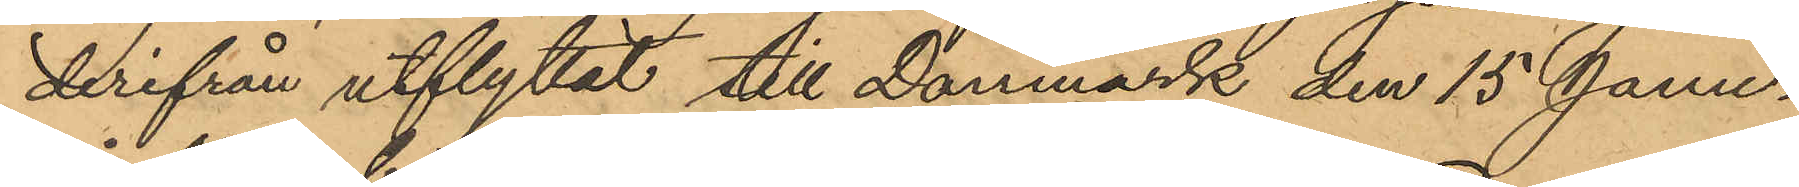derifrån utflyttat till Danmark den 15 Janu¬
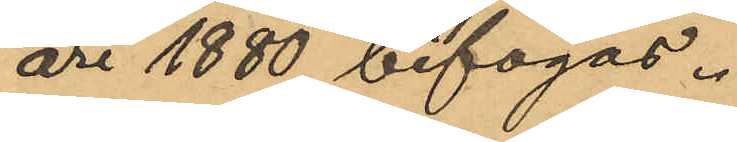ari 1880 bifogas.
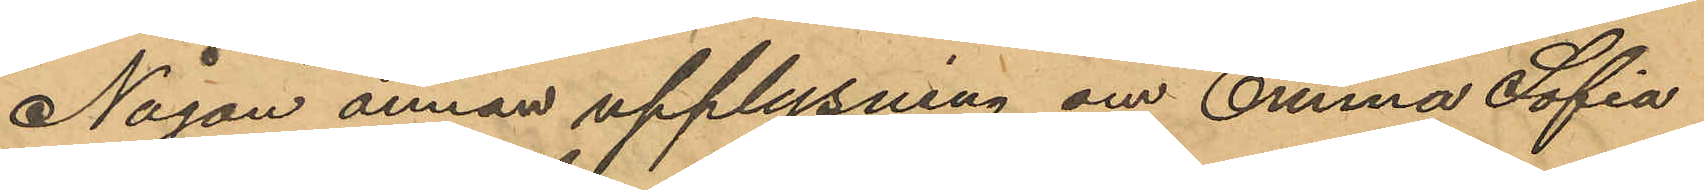Någon annan upplysning om Emma Sofia
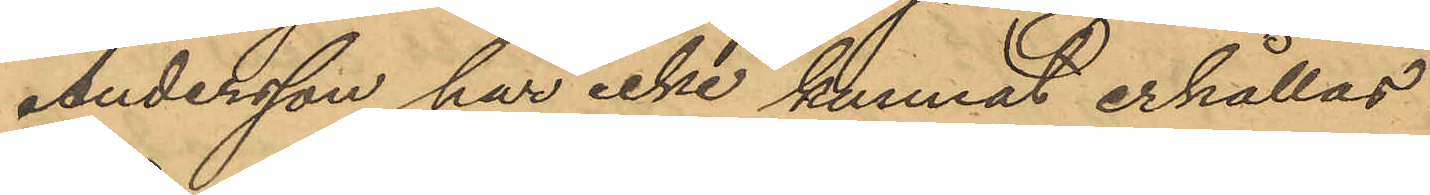Andersson har icke kunnat erhållas.
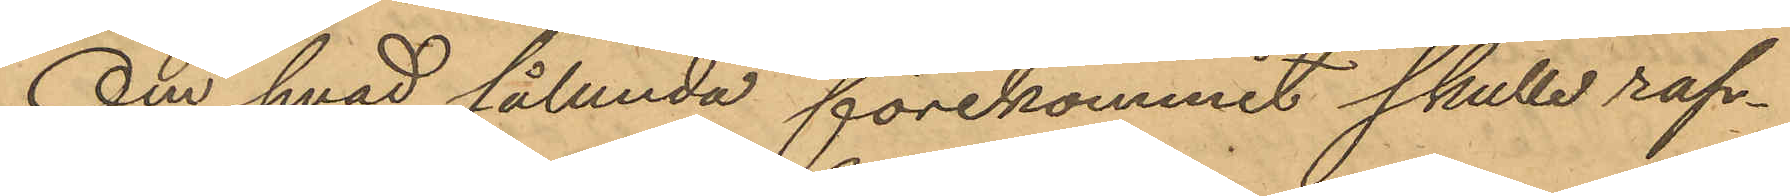Om hvad sålunda förekommit skulle rap¬
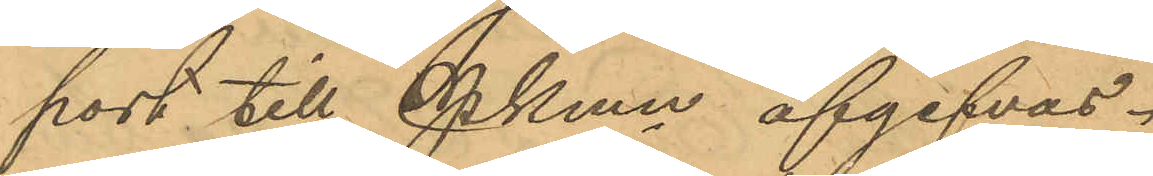port till Pkmn afgifvas.
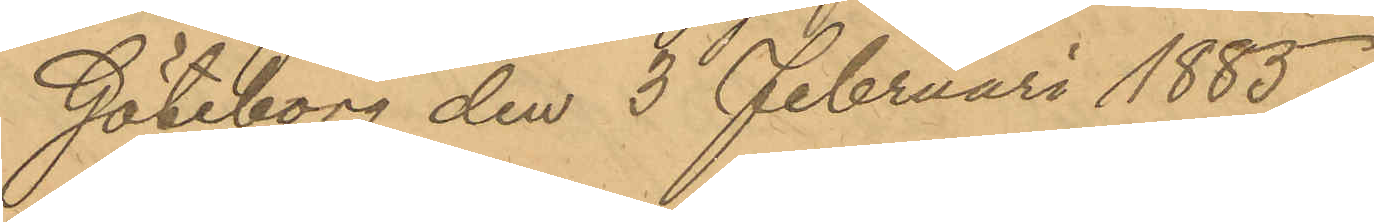Göteborg den 3 Februari 1885.
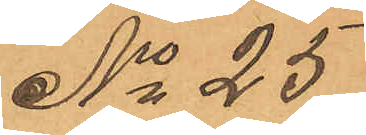No 25
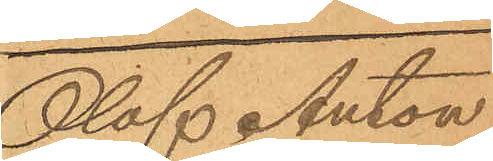Olof Anton
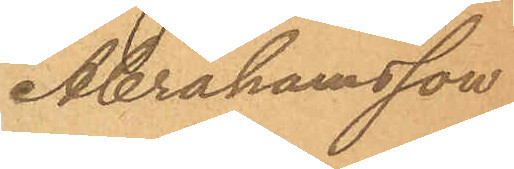Abrahamsson
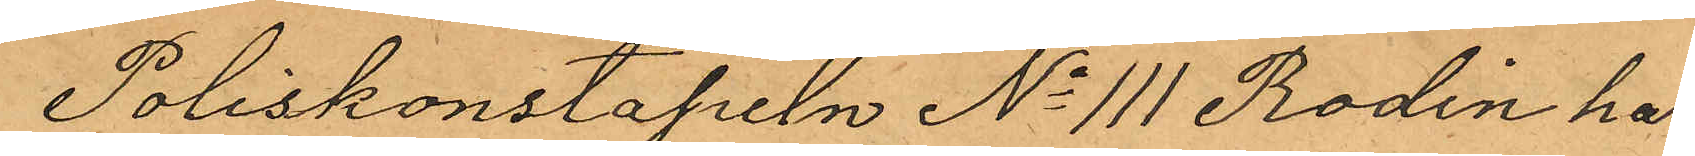Poliskonstapeln No 111 Rodin har
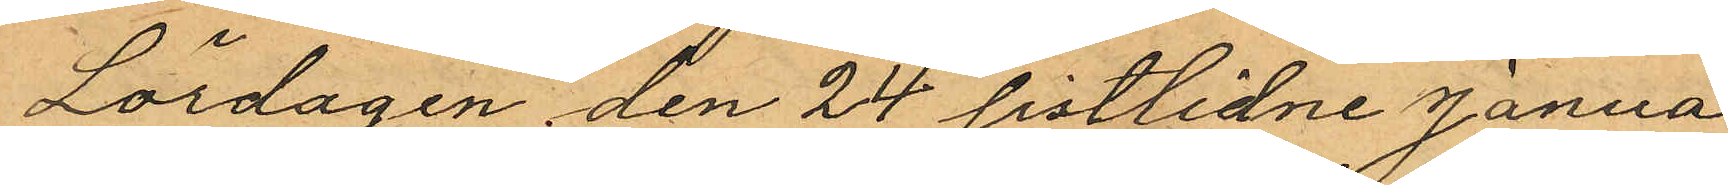Lördagen den 24 sistlidne Janua¬
